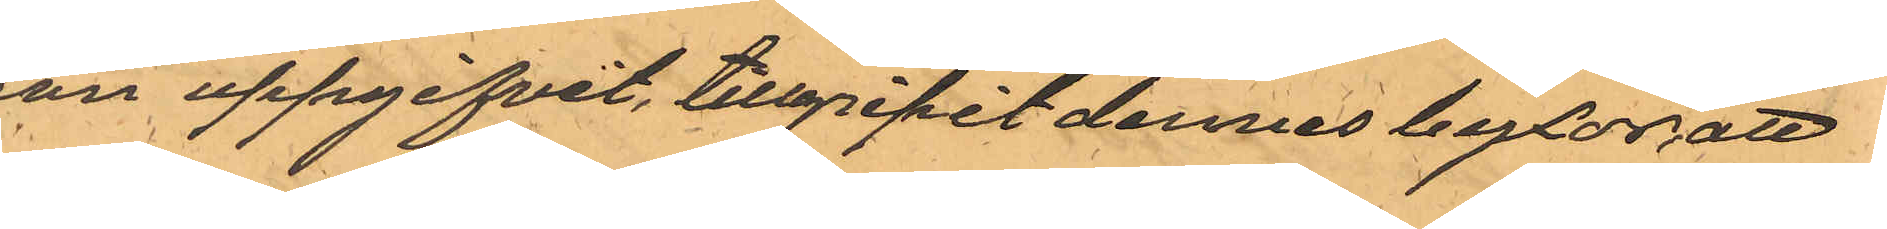son uppgifvit, tillgripit dennes byxor, att
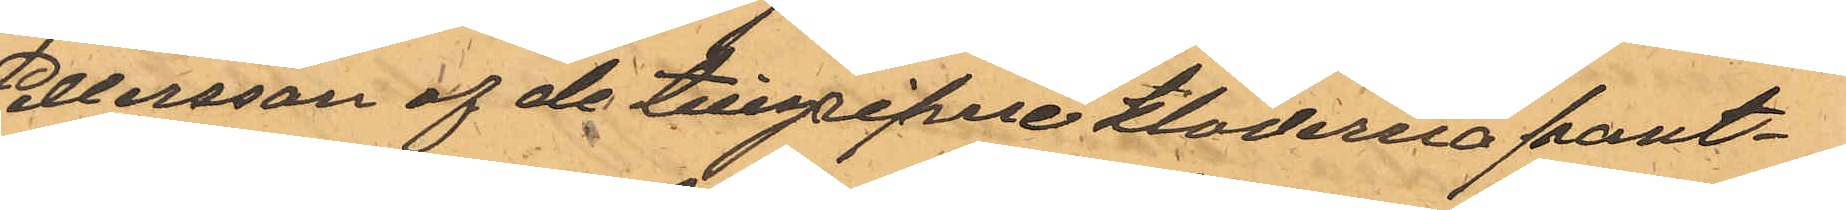Pettersson af de tillgripne kläderna pant¬
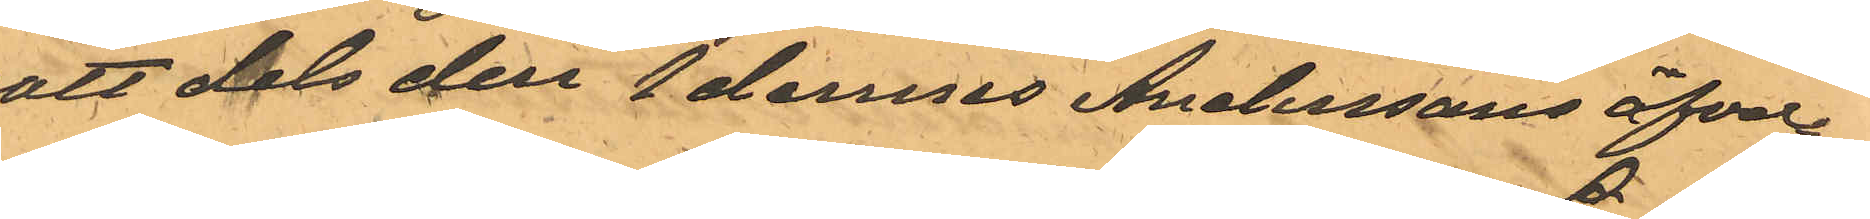satt dels den 1 dennes Anderssons öfver¬
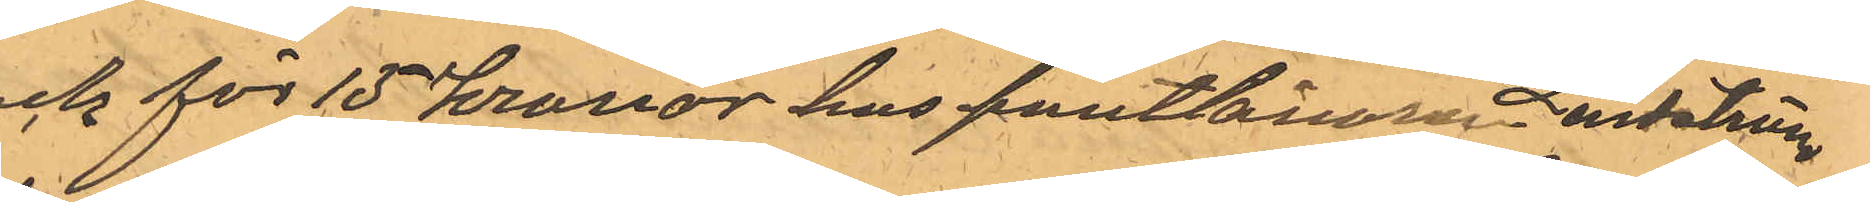rock för 15 kronor hos pantlånaren Lindström,
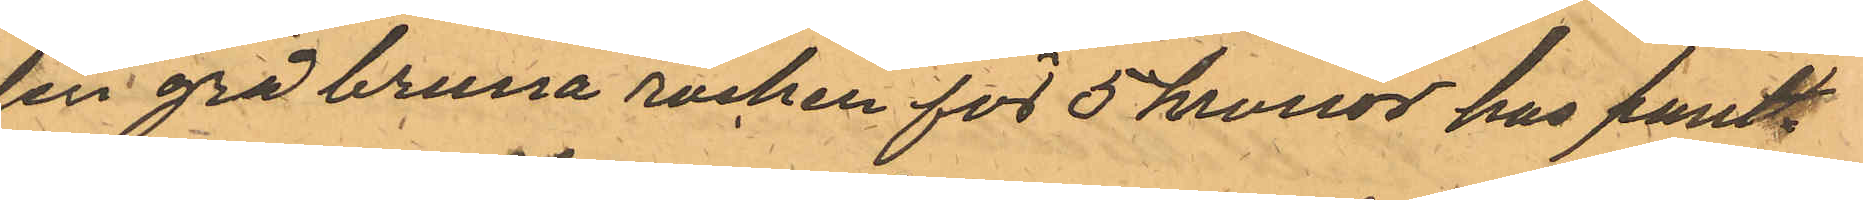den grå bruna rocken för 5 kronor hos pant¬
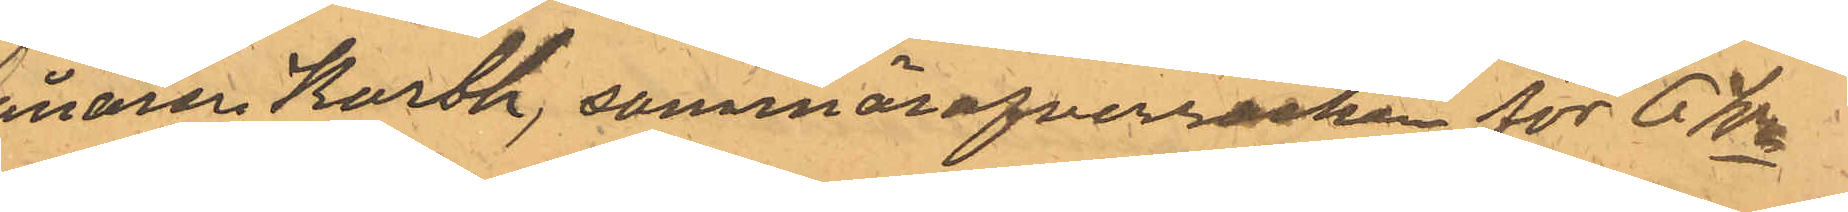lånaren Karth, sommaröfverrocken för 6 Kr
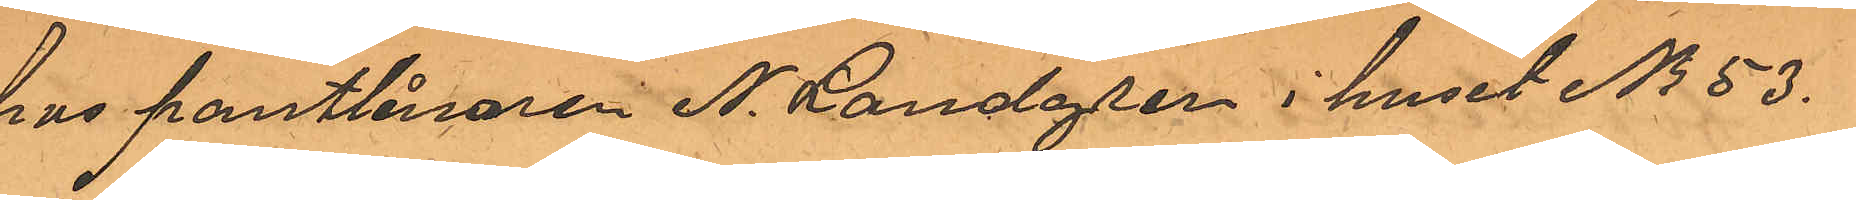hus pantlånaren N. Landgren i huset No 53.
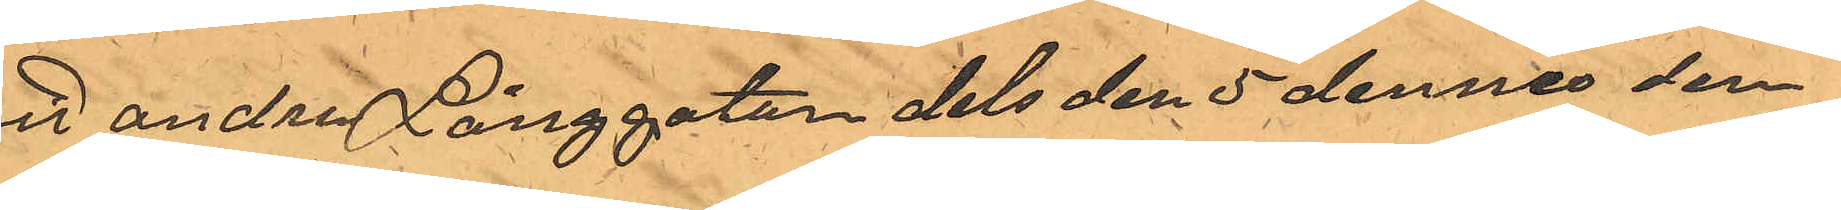vid andra Långgatan dels den 5 dennes den
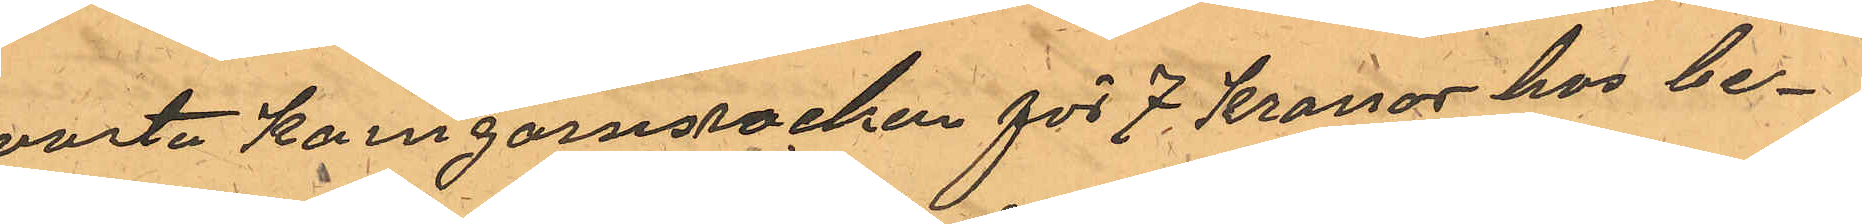svarta Kamgarnsrocken för 7 kronor hos be¬
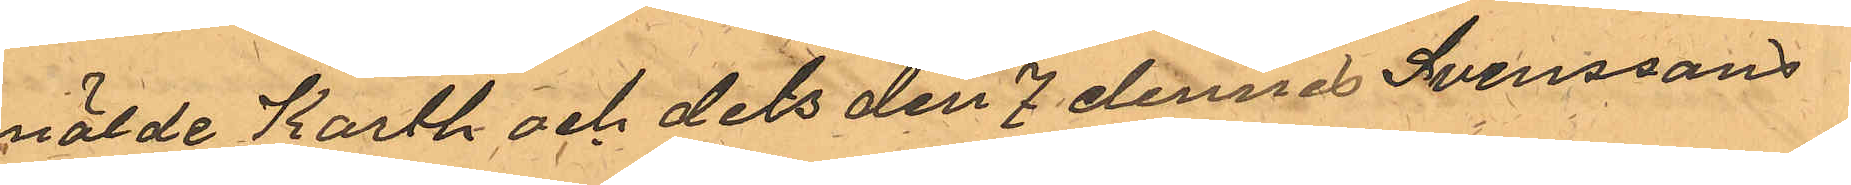mälde Karth och dels den 7 dennes Svenssons
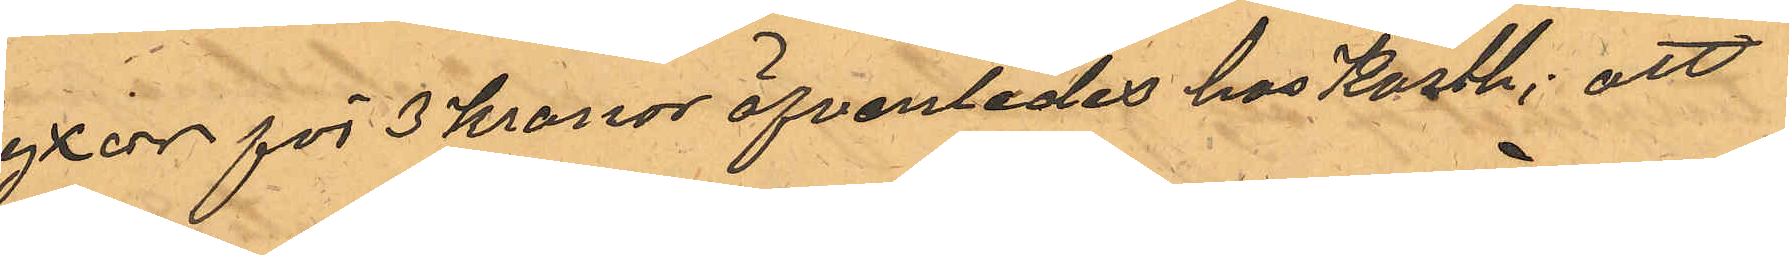byxor för 3 kronor äfvenledes hos Karth; att
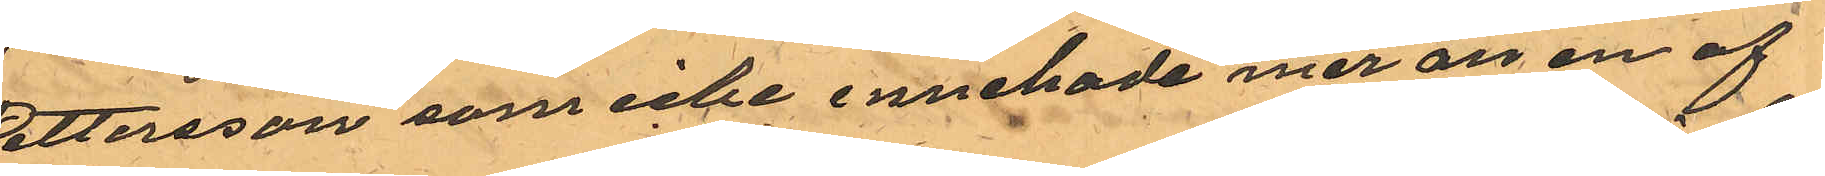Pettersson som icke innehade mer än en af
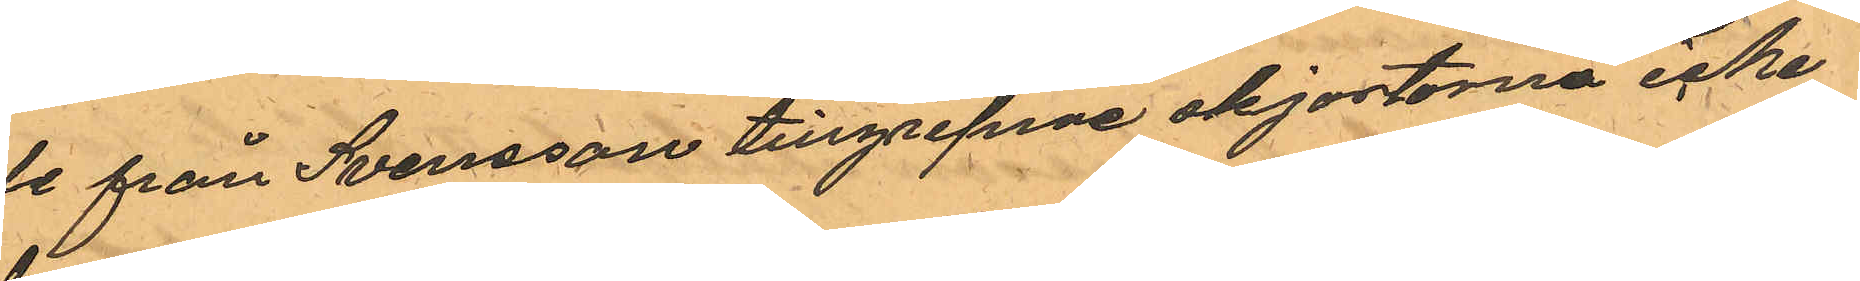de från Svensson tillgripne skjortorna icke
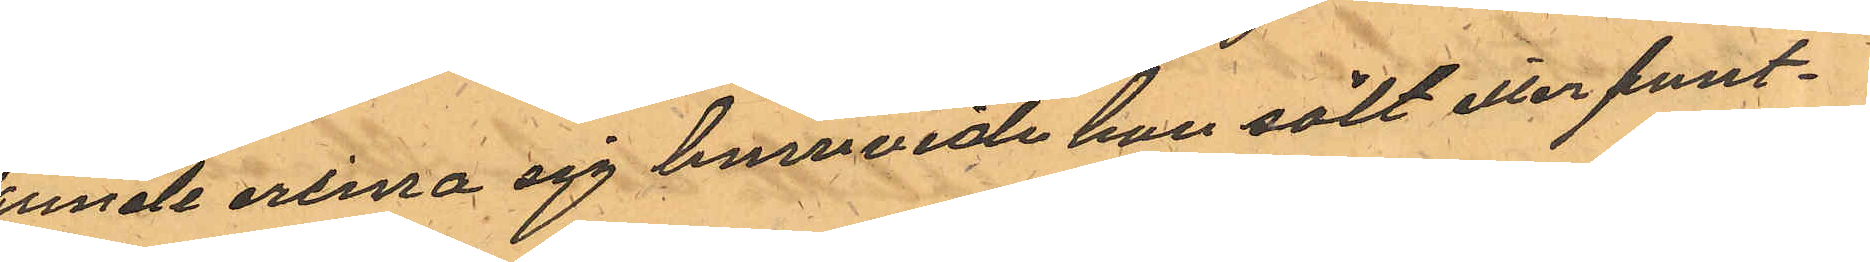kunde erinra sig huruvida han sålt eller pant¬
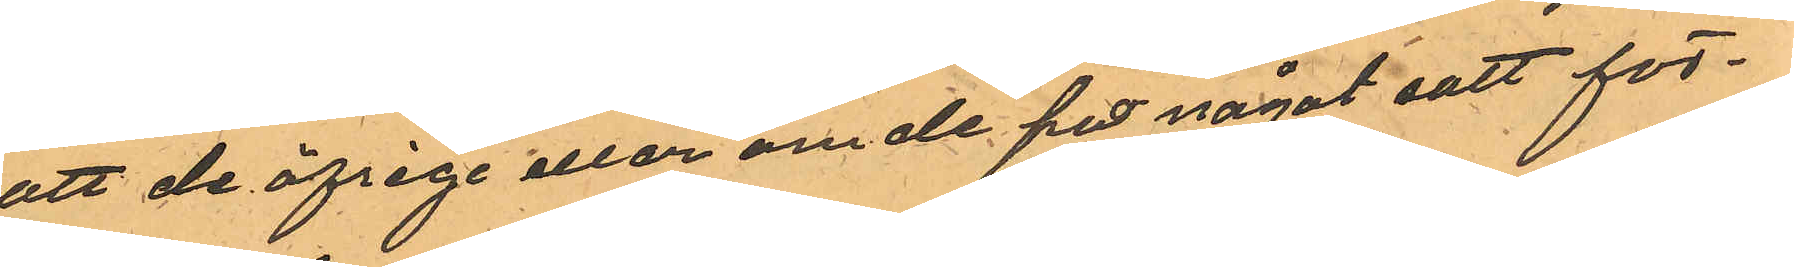satt de öfrige eller om de på något satt för¬
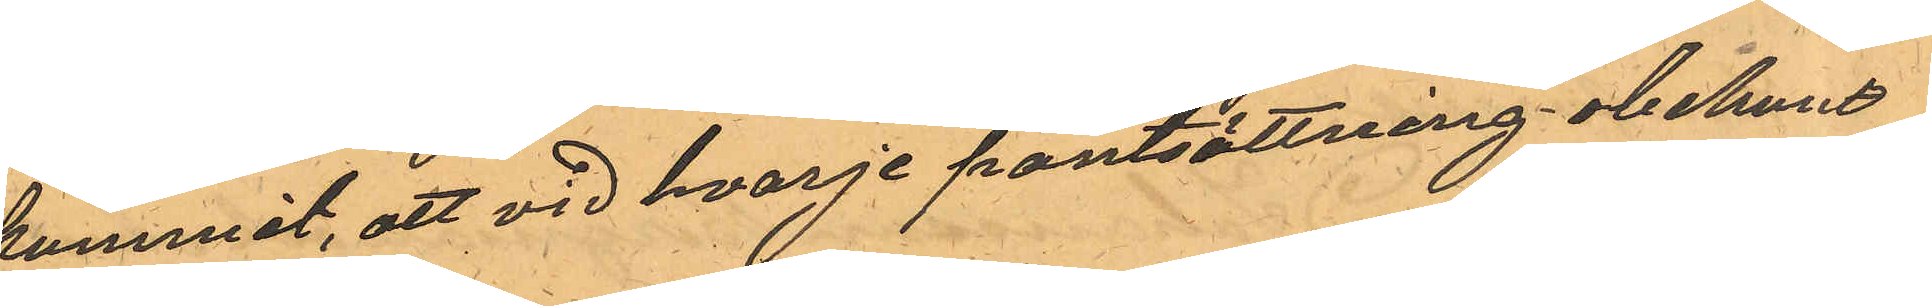kommit, att vid hvarje pantsättning obekant
